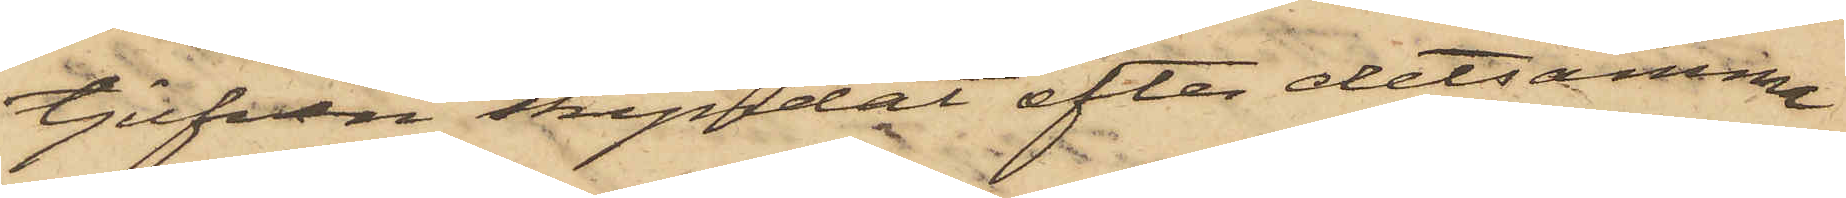tjufven skyndat efter detsamma
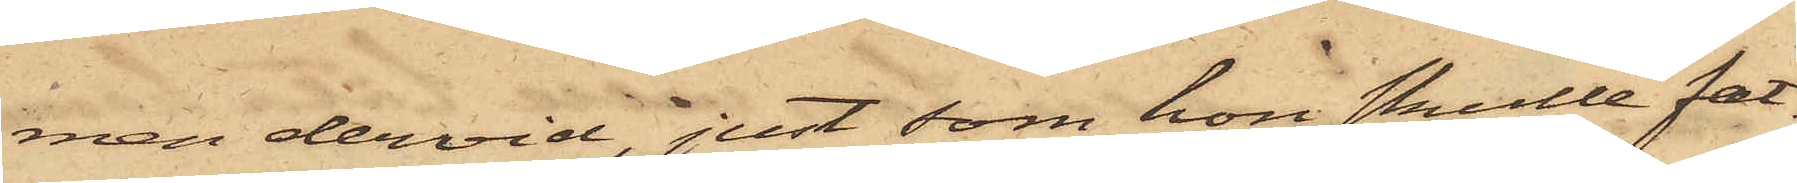men dervid, just som hon skulle fat¬
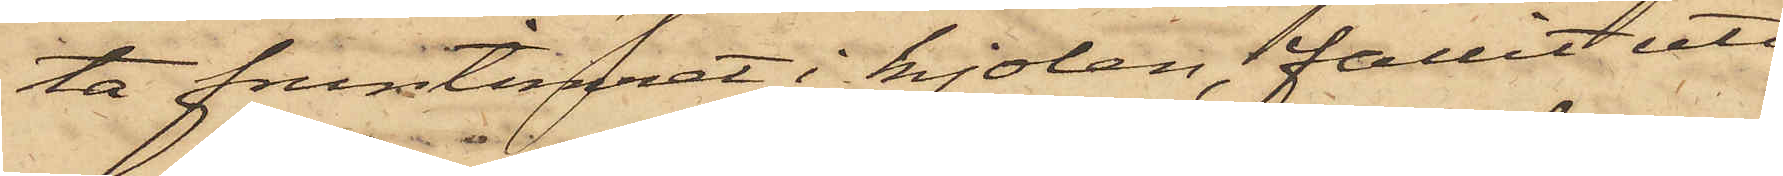ta fruntimret i kjolen, fallit uti
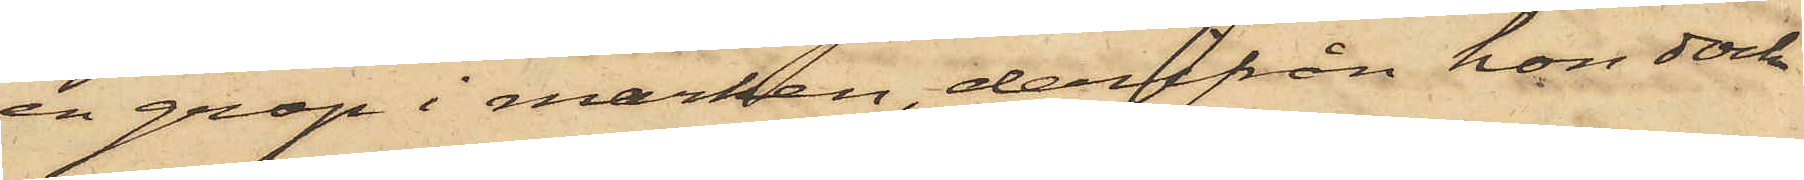en grop i marken, derifrån hon dock
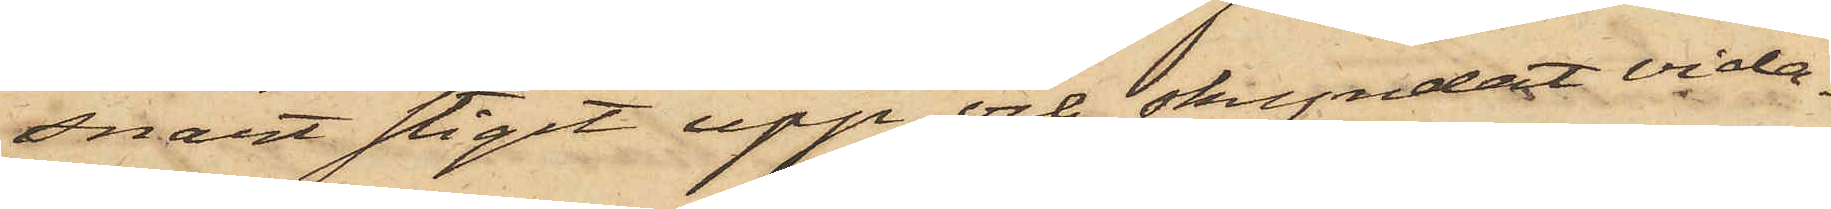snart stigit upp och skyndat vida¬
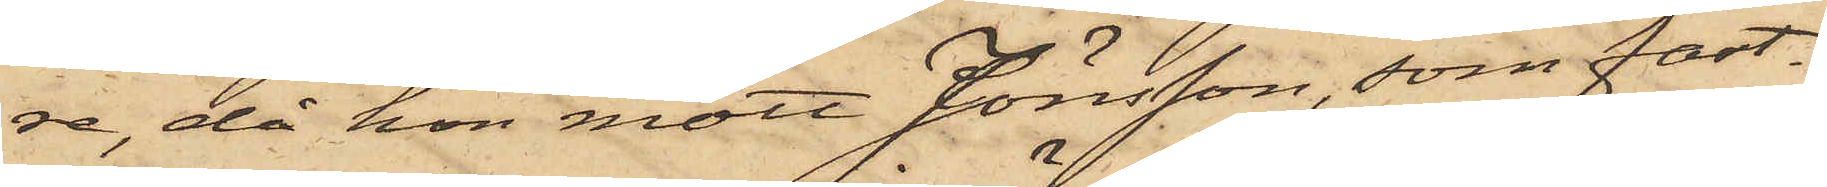re, då hon mött Jönsson, som fast¬
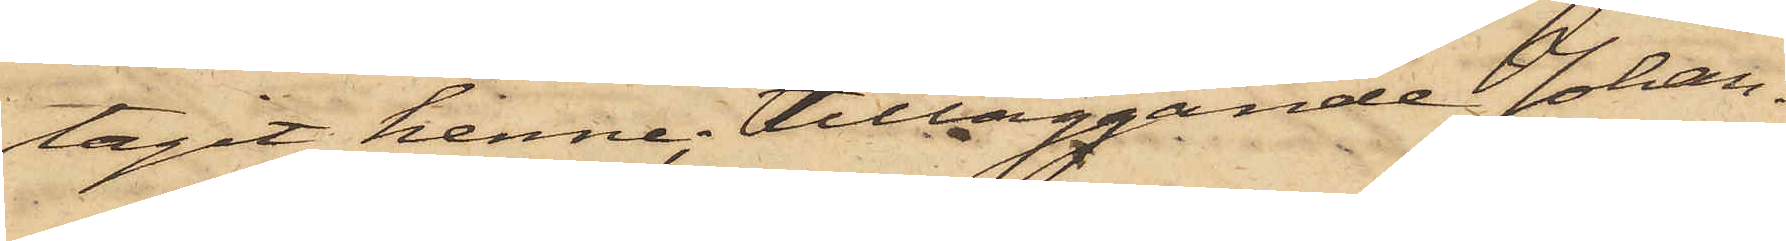tagit henne; tilläggande Johan¬
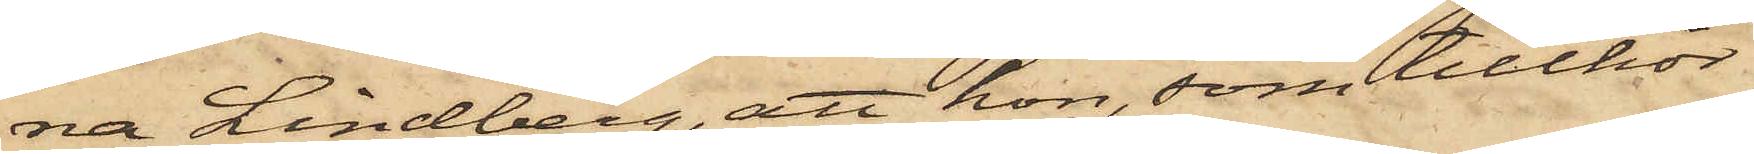na Lindberg, att hon, som tillhör
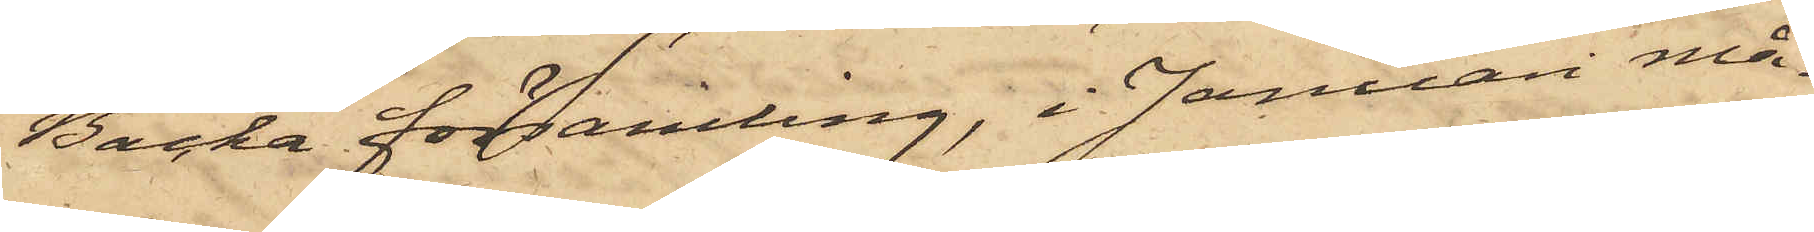Backa församling, i Januari må¬
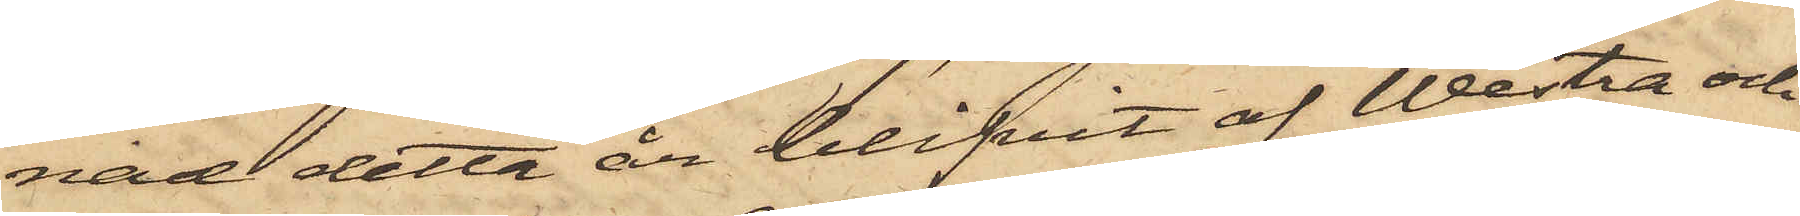nad detta år blifvit af Westra och
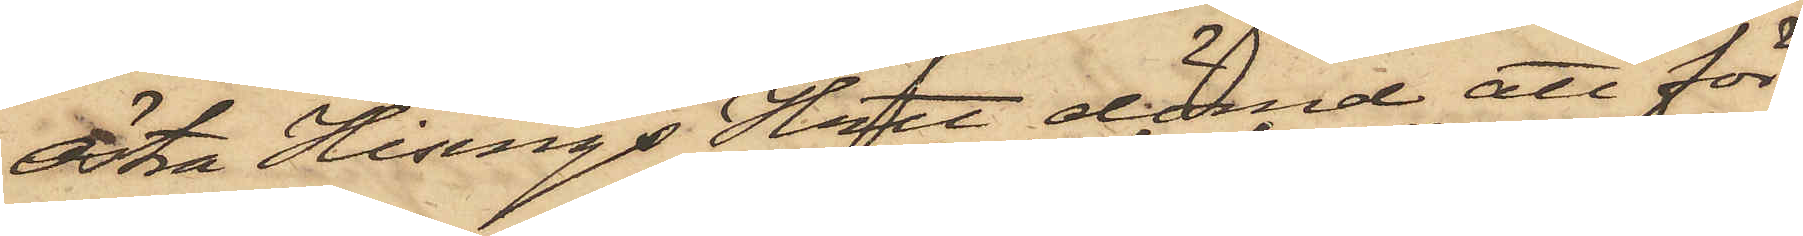Östra Hisings Hrtt dömd att för
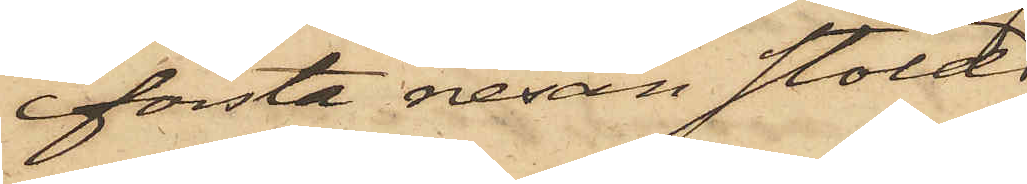första resan stöld
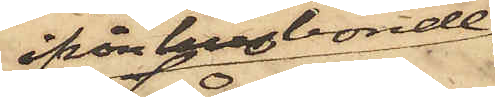ifrån husbonde
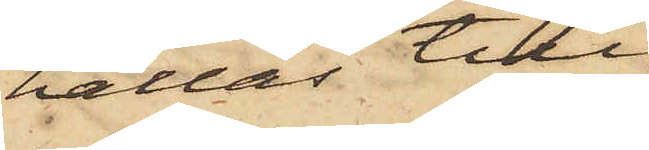hållas tilll
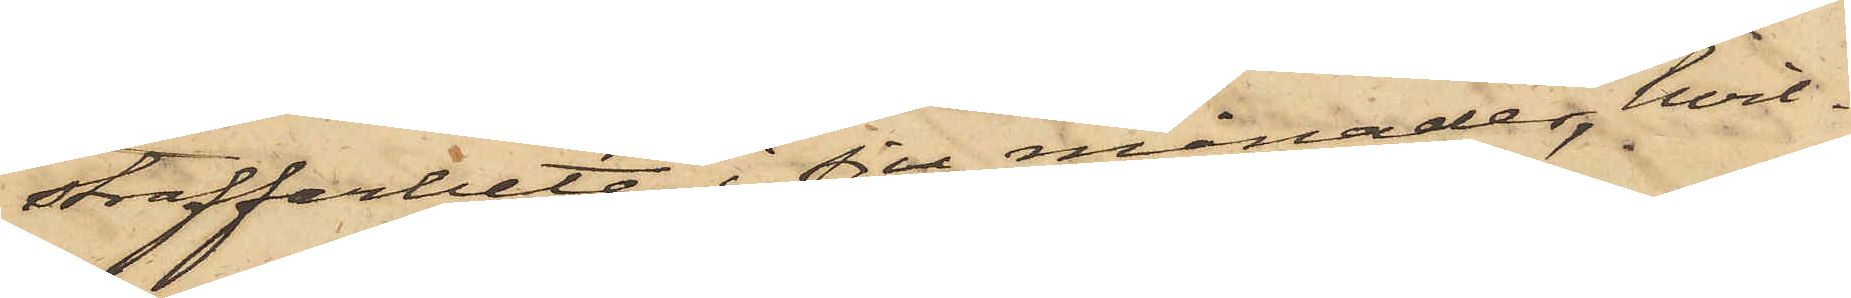straffarbete i sju månader, hvil¬
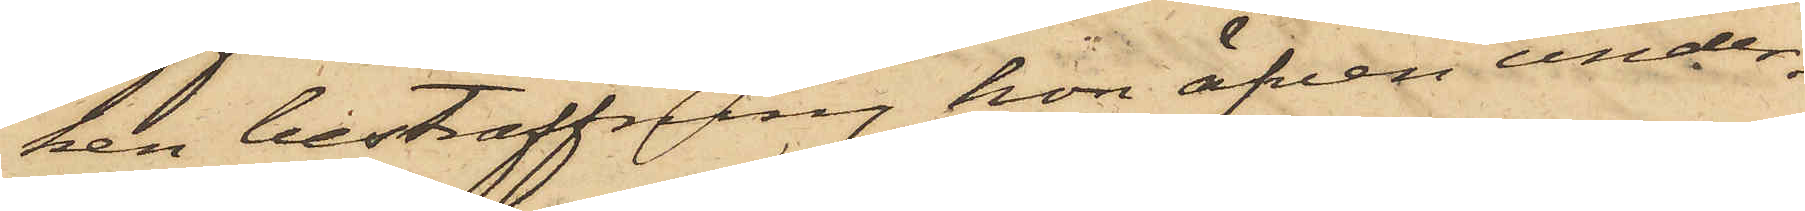ken bestraffning hon äfven under¬
